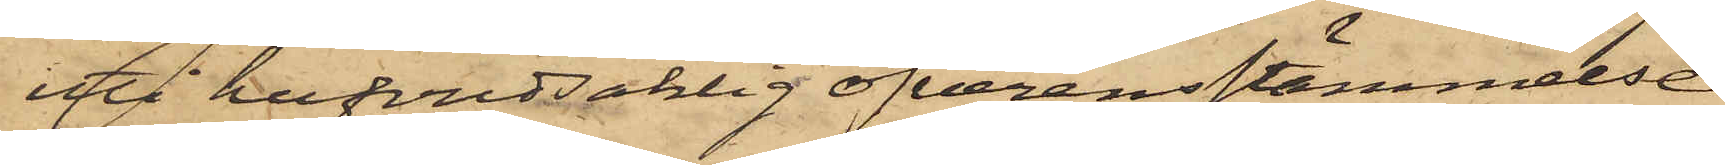uti hufvudsaklig öfverensstämmelse
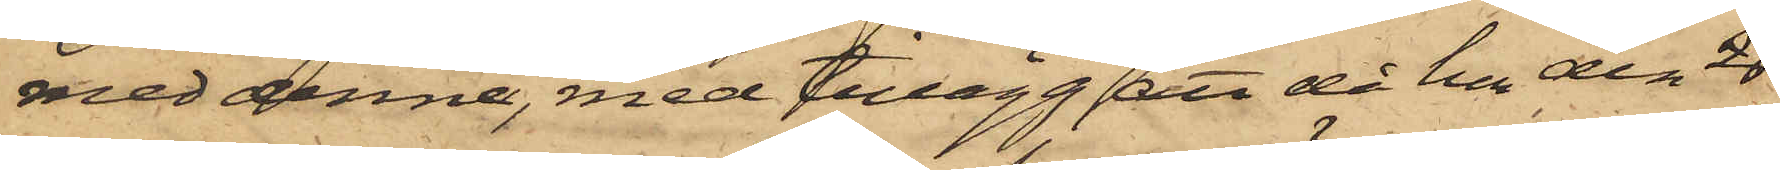med denne, med tillägg, att då hon den 26
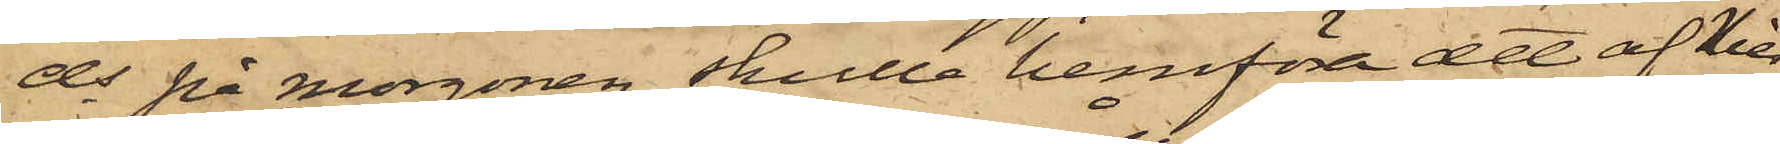ds på morgonen skulle hemföra att af Nil¬
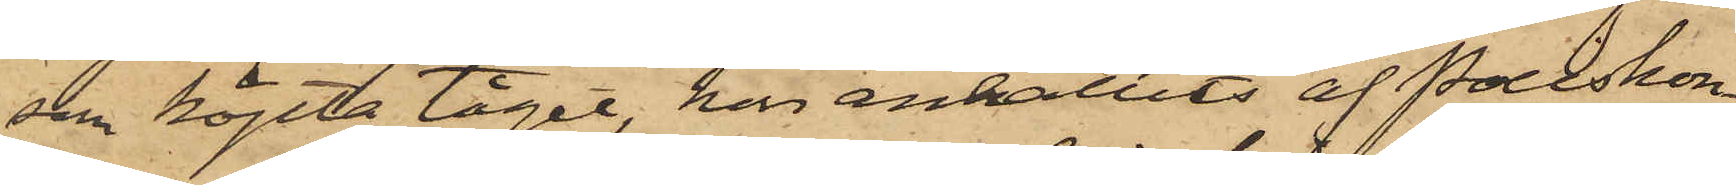son köpta tåget, han anhållits af Poliskon¬
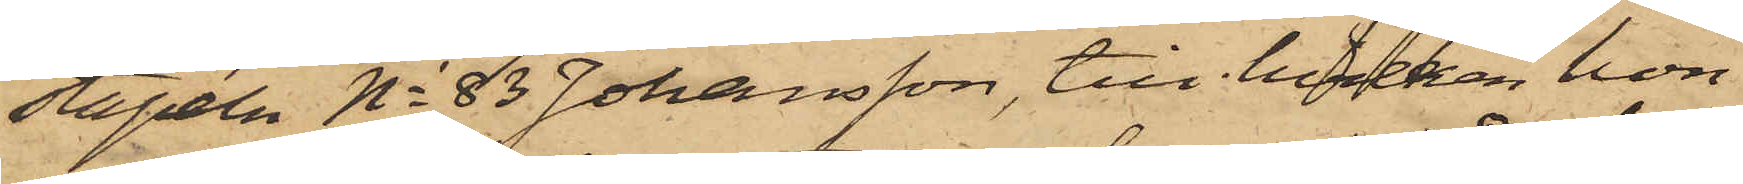stapeln No 83 Johansson, till hvilken hon
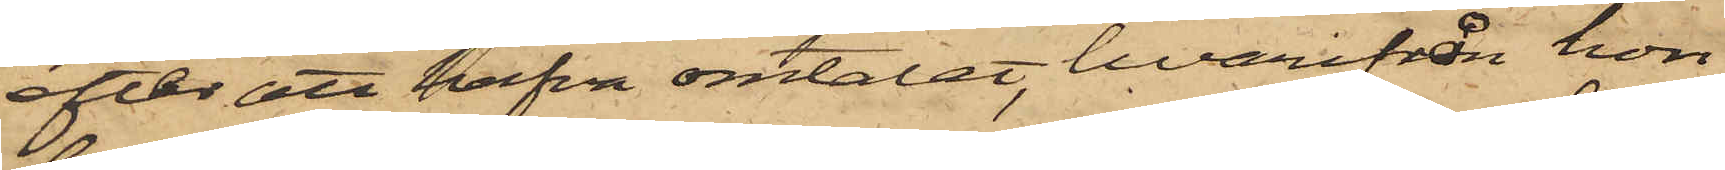efter att hafva omtalat, hvarifrån hon
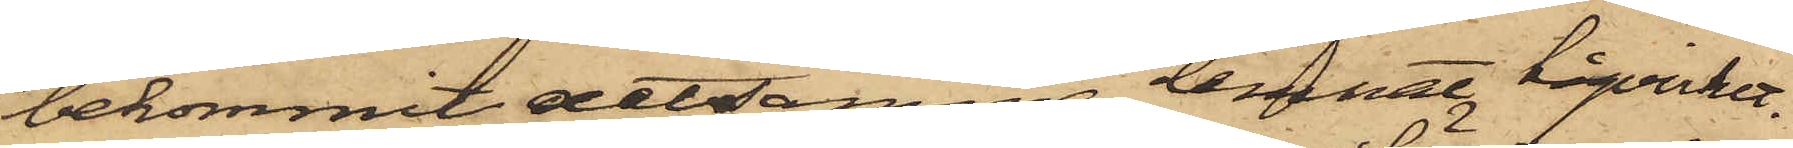bekommit detsamma, lemnat tågvirket.
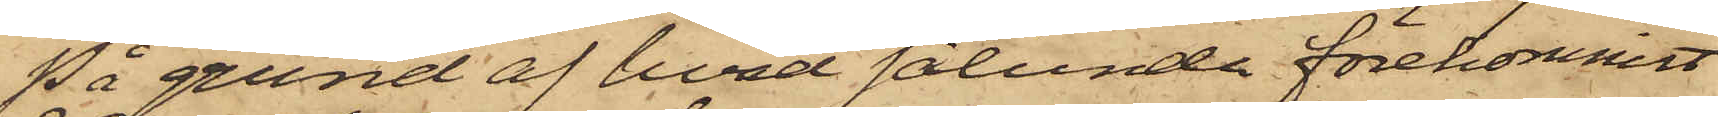På grund af hvad sålunda förekommit
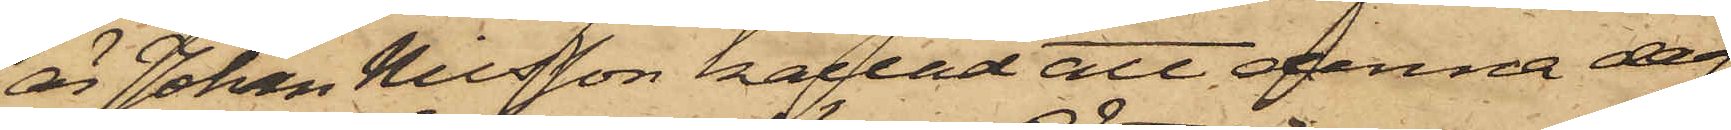är Johan Nilsson kallad att denna den
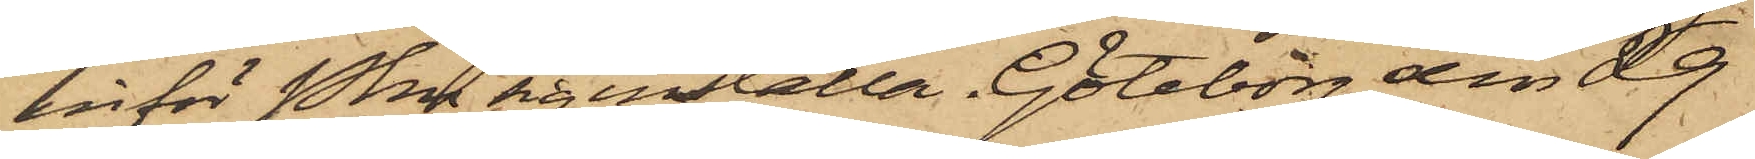inför Pkn sig inställa. Göteborg den 29
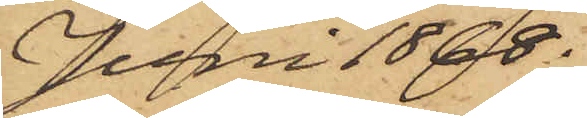Juni 1868.
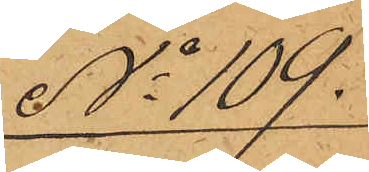No 109.
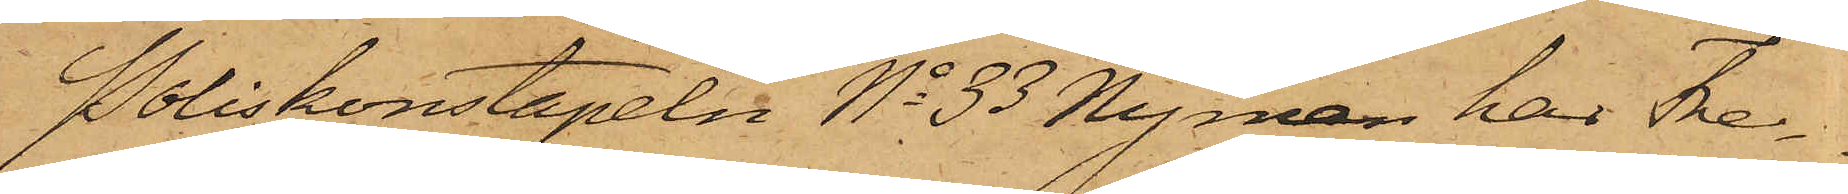Poliskonstapeln No 33 Nyman har Fre¬
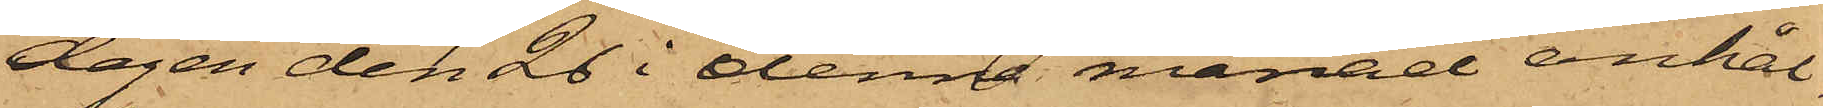dagen den 26 i denna månad anhål¬
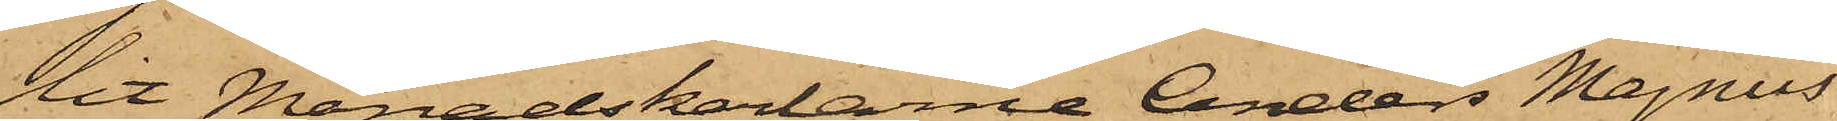Nit Månadskarlarne Anders Magnus
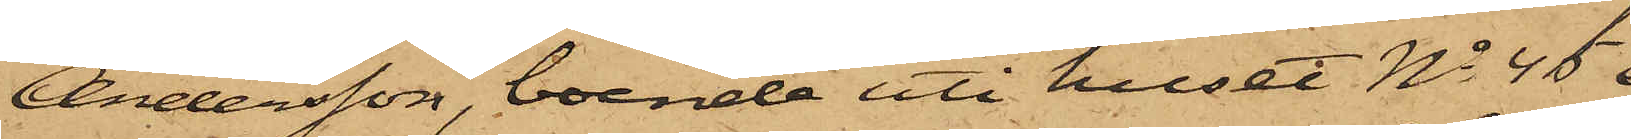Andersson, boende uti huset No 45 i
